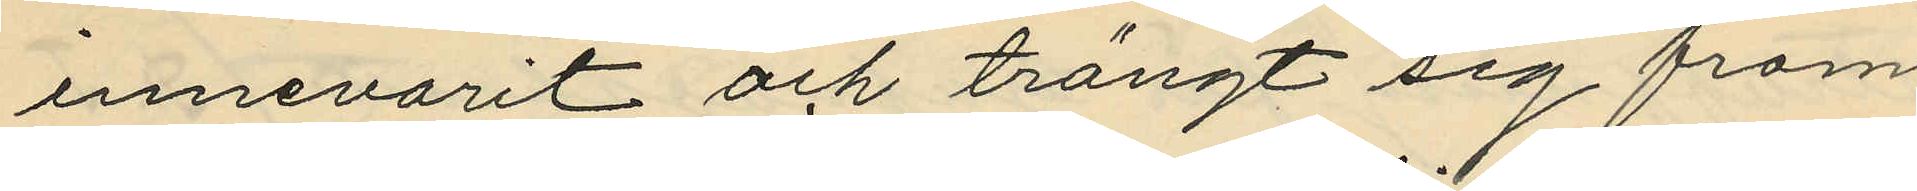innevarit och trängt sig fram
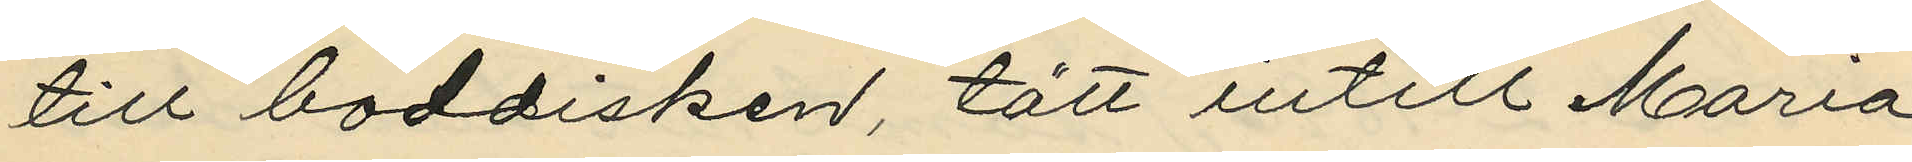till boddisken, tätt intill Maria,
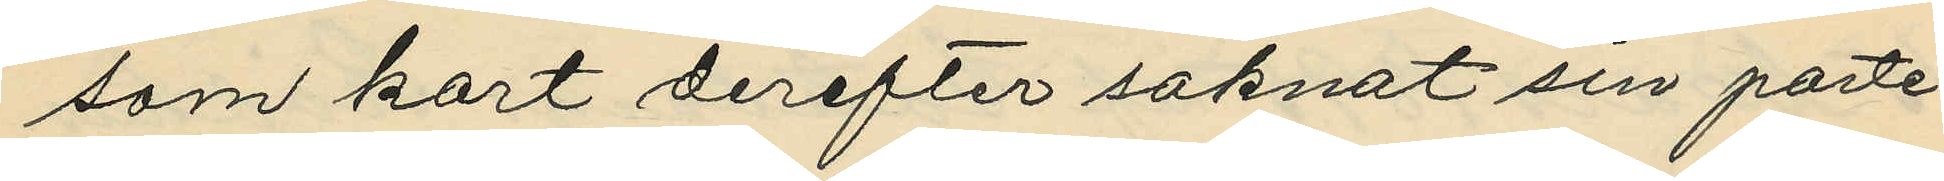som kort derefter saknat sin porte¬
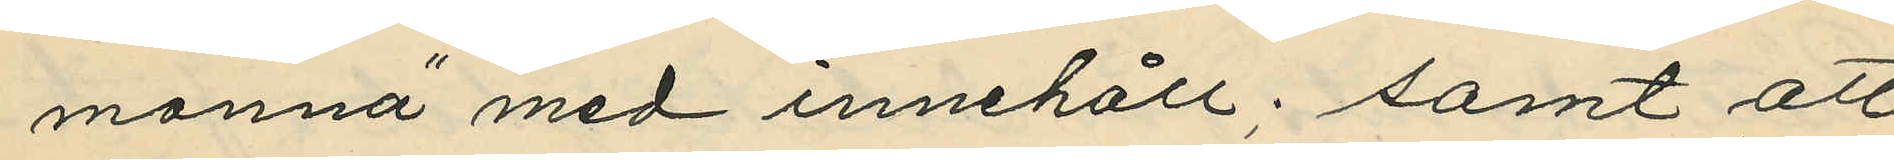monnä med innehåll; samt att
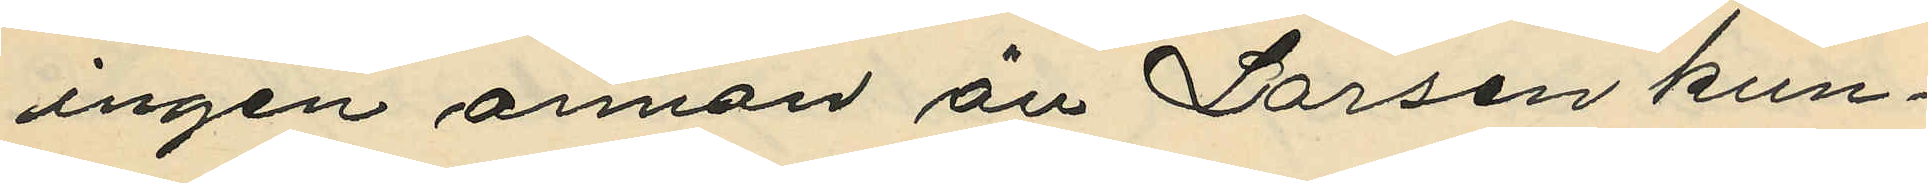ingen annan än Larsen kun¬
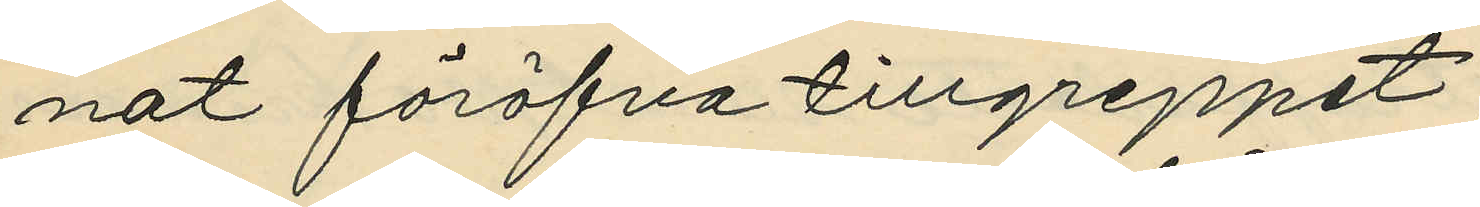nat föröfva tillgreppet;
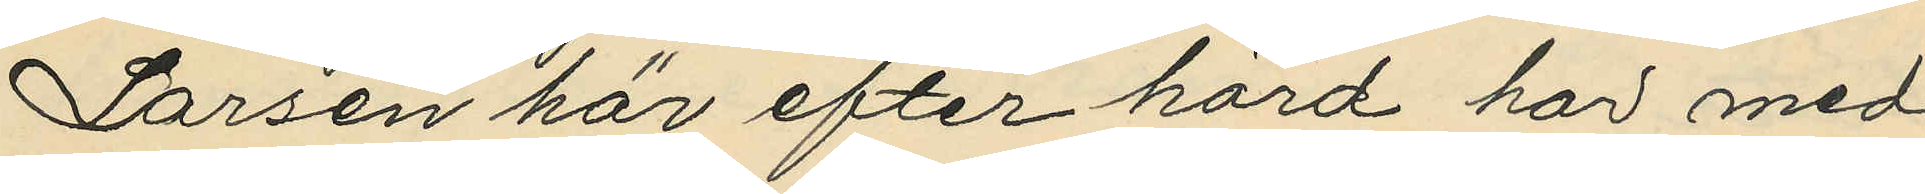Larsen här efter hörd har med
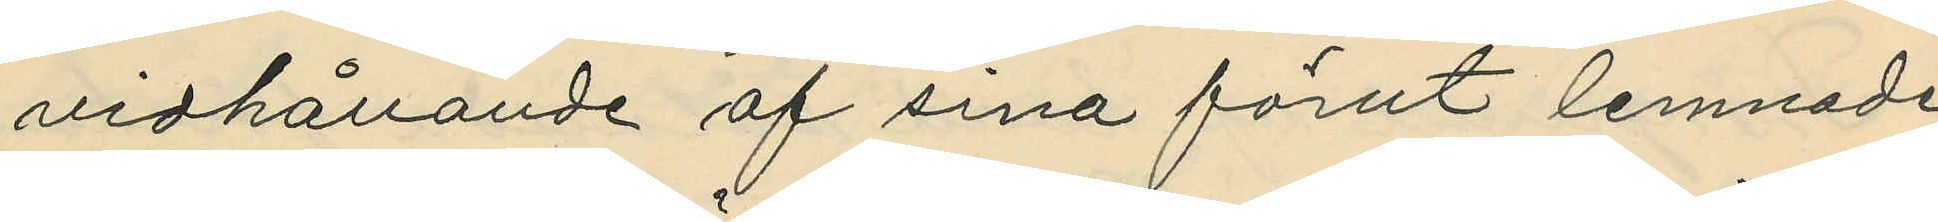vidhållande af sina förut lemnade
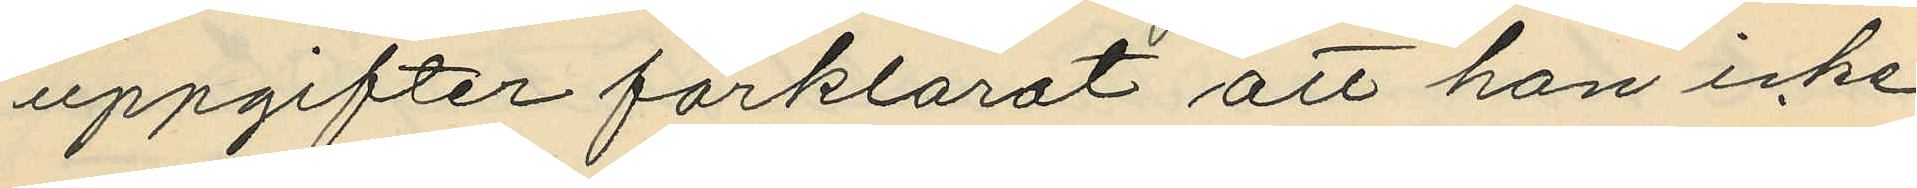uppgifter förklarat att han icke
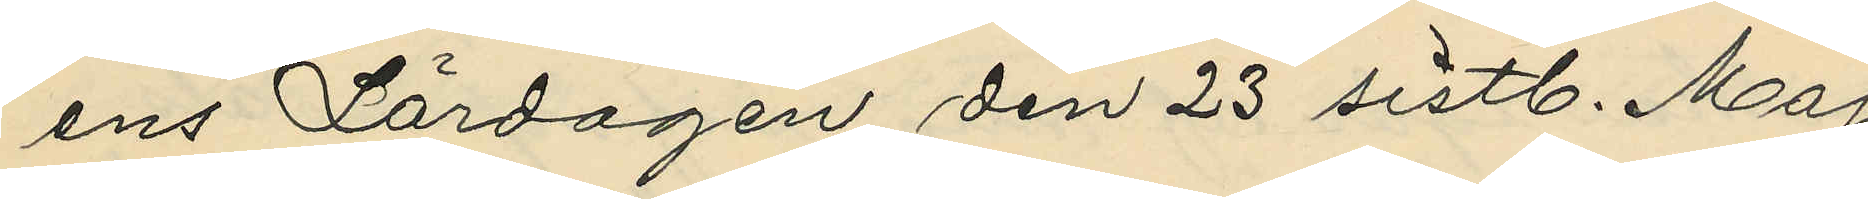ens Lördagen den 23 sistl. Maj
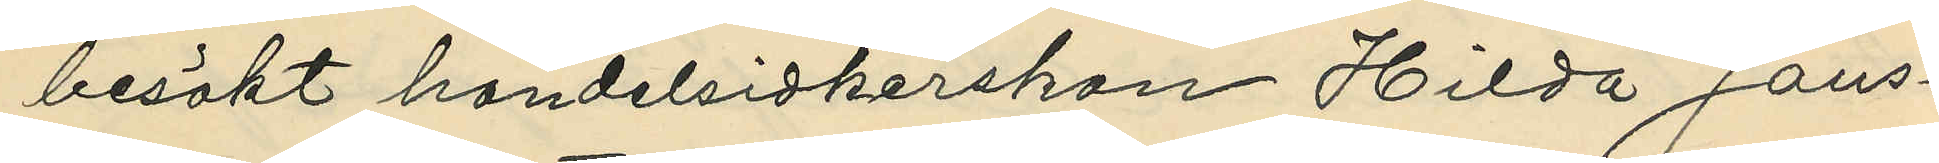besökt handelsidkerskan Hilda Jans¬
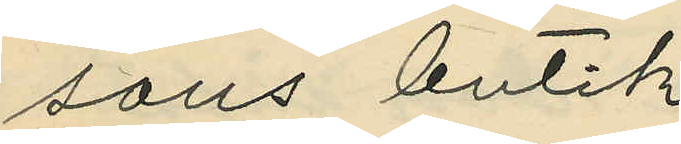sons butik.
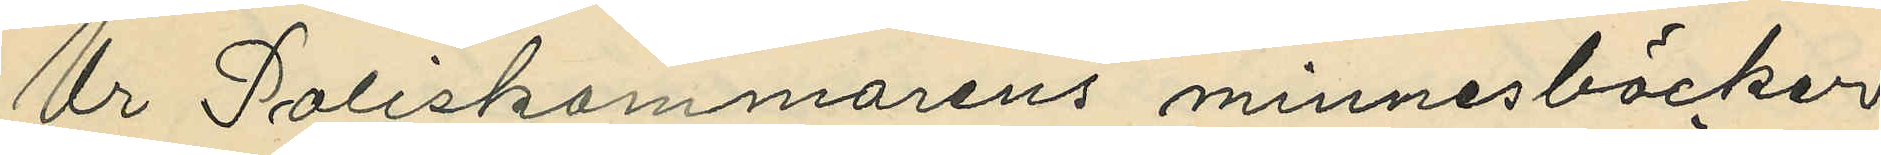Ur Poliskammarens minnesböcker
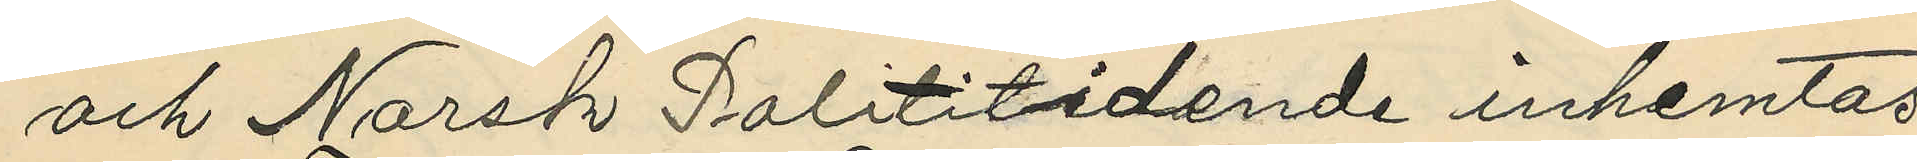och Norsk Polititidende inhemtas;
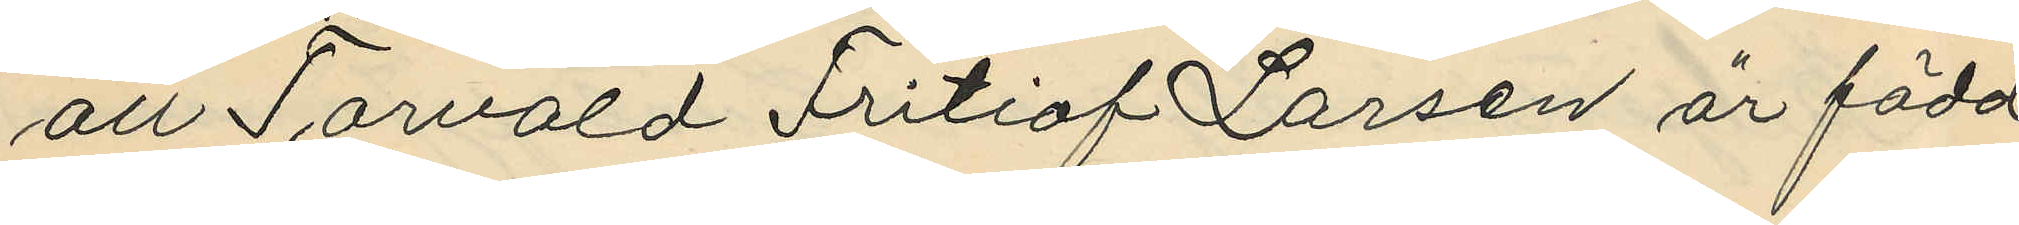att Torvald Fritiof Larsen är född
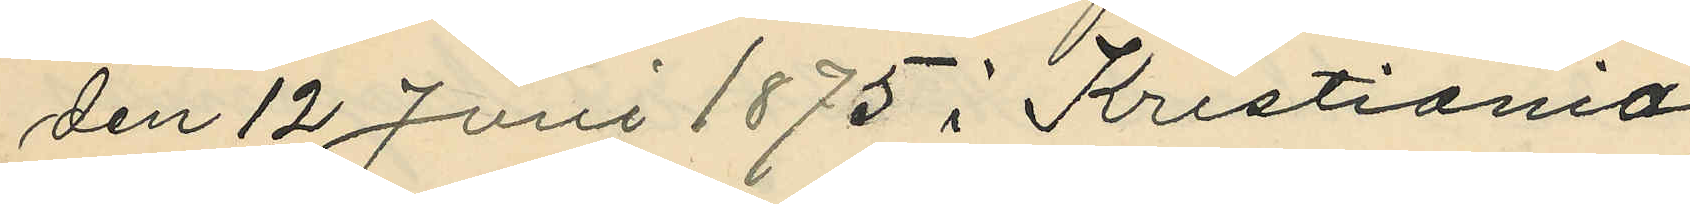den 12 Juni 1875 i Kristiania
